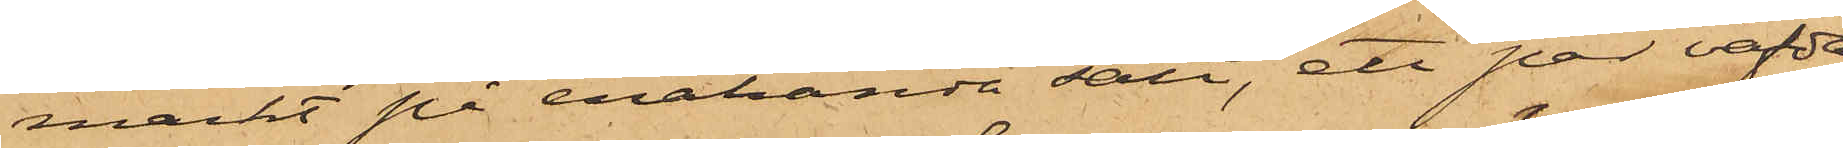märkt på enahanda sätt, ett par väfda
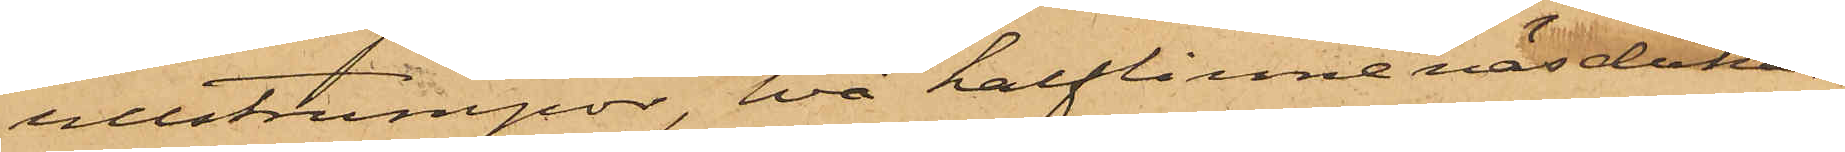ullstrumpor, två halflinnenäsdukar,
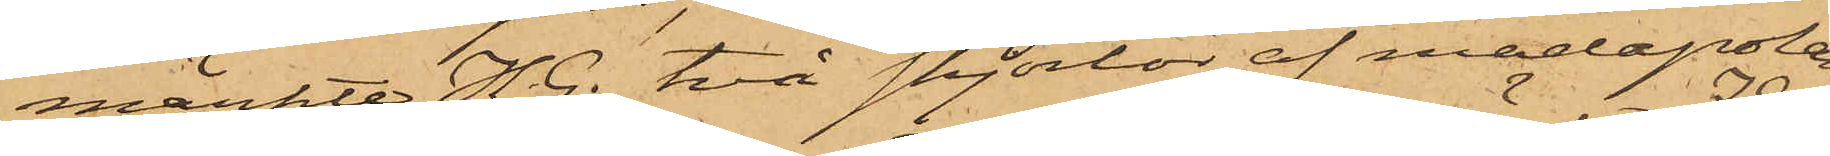märkte H. G., två skjortor af madapolam,
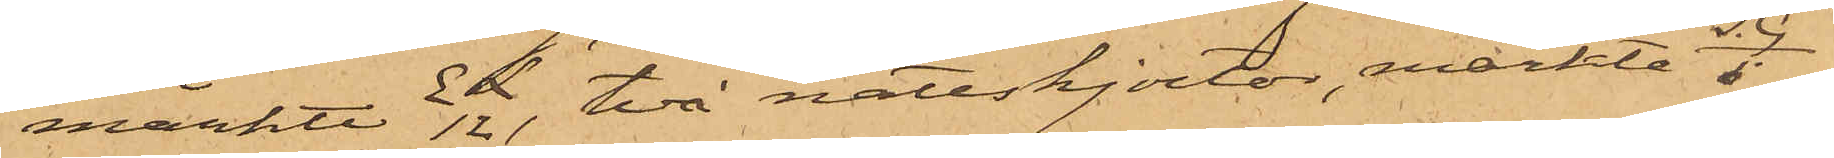märkte E L 12, två nattskjortor, märkte I. G. / 5,
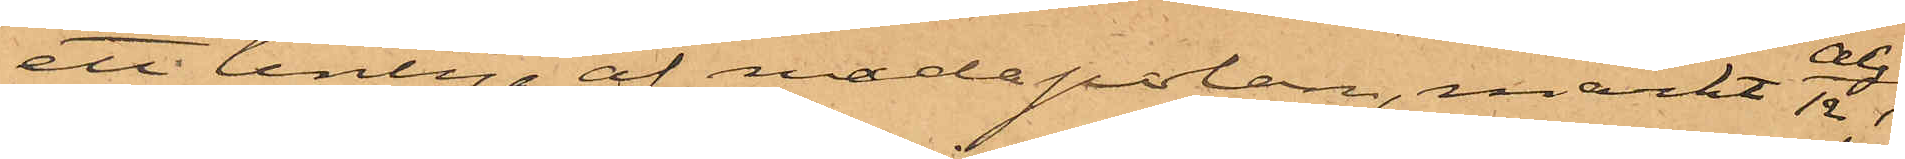ett lintyg af madapolam, märkt A G / 12,
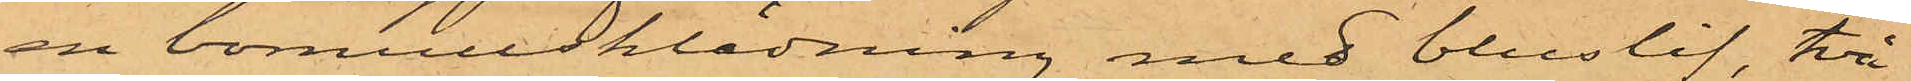en bomullsklädning med bluslif, två
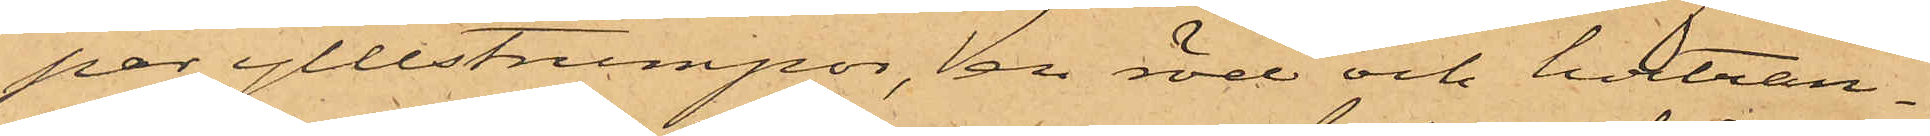par yllestrumpor, en röd och hvitran¬
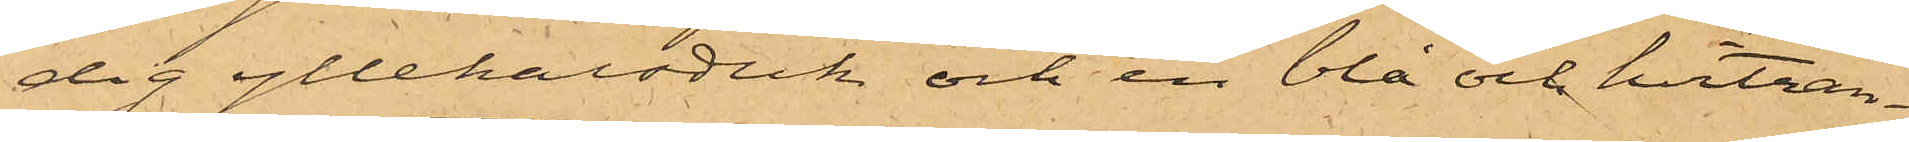dig yllehalsduk och en blå och hvitran¬
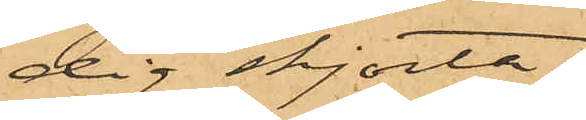dig skjorta;
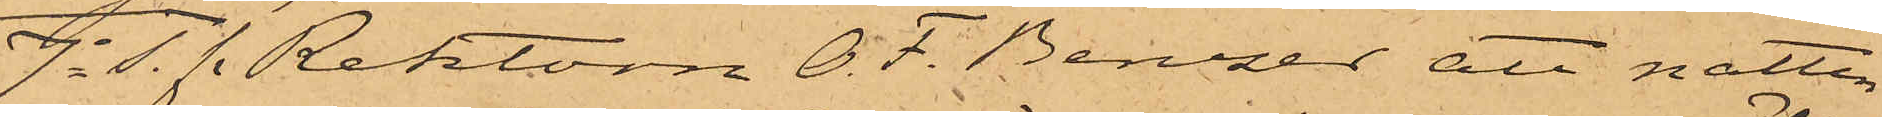7o S. f. Rektorn O. F. Benzer att natten
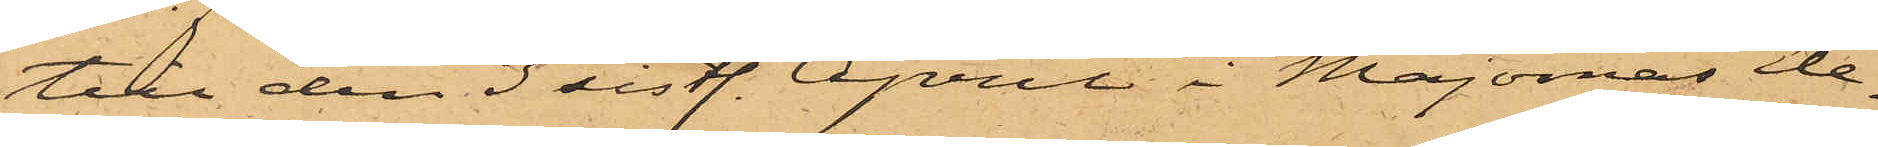till den 3 sistl. April i Majornas Ele¬
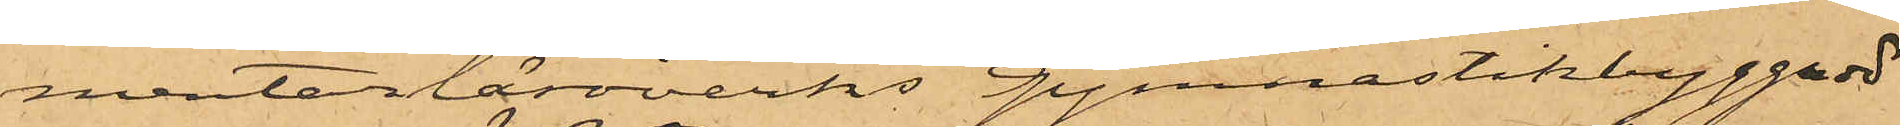mentarläroverks Gynnastikbyggnad
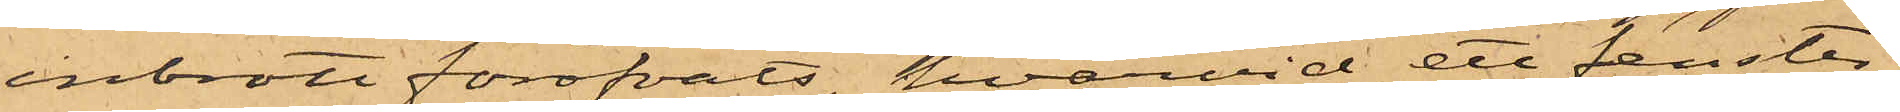inbrott föröfvats, hvarvid ett fenster¬
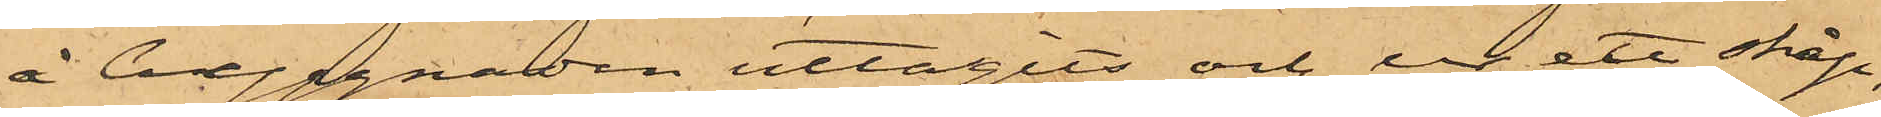å byggnaden uttagits och ur ett skåp,
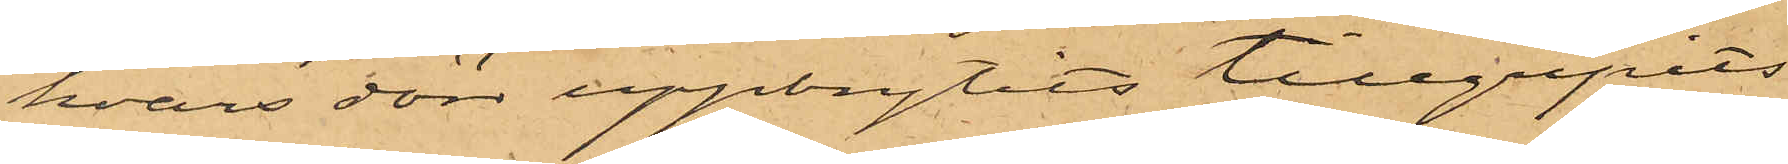hvars dörr uppbrytits tillgripits
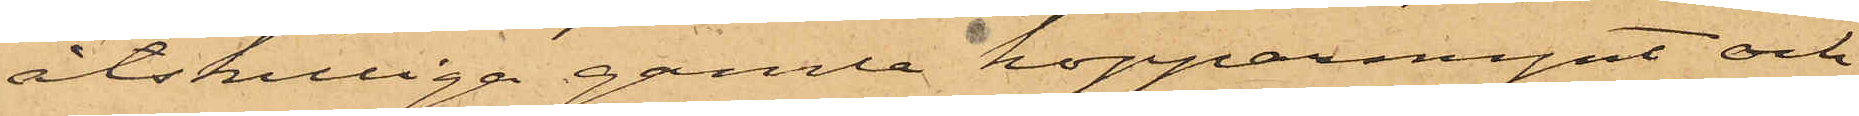åtskilliga gamla kopparmynt och
